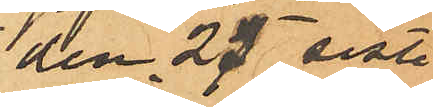den 25 sist.
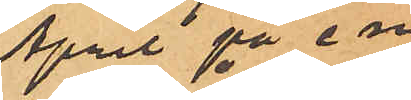April på em
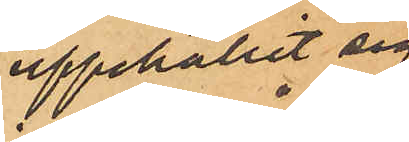uppehållit sig
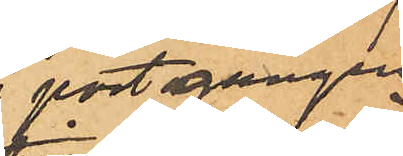i port gången
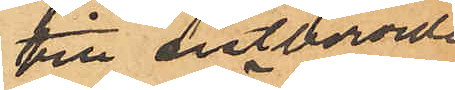till sistberörde
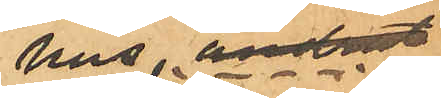hus, ändrat
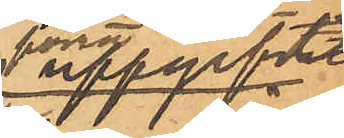förra uppgift
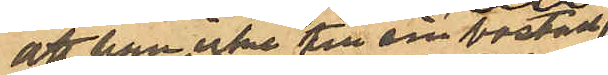att han icke till sin bostad
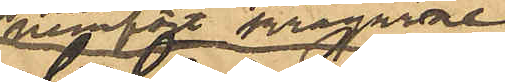hemfört kragarne
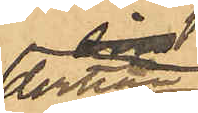derhän
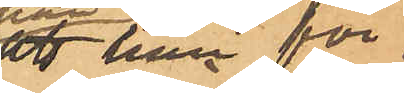att han för
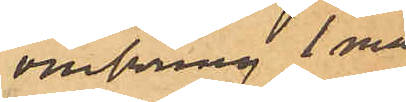omkring 1 må¬
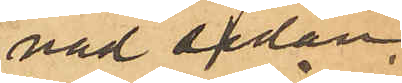nad sedan
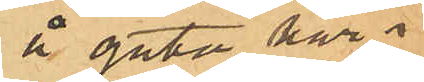å gata här i
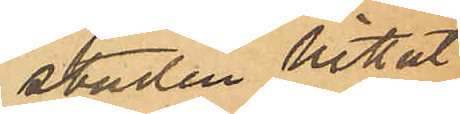staden hittat
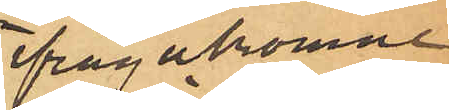ifrågakomne
